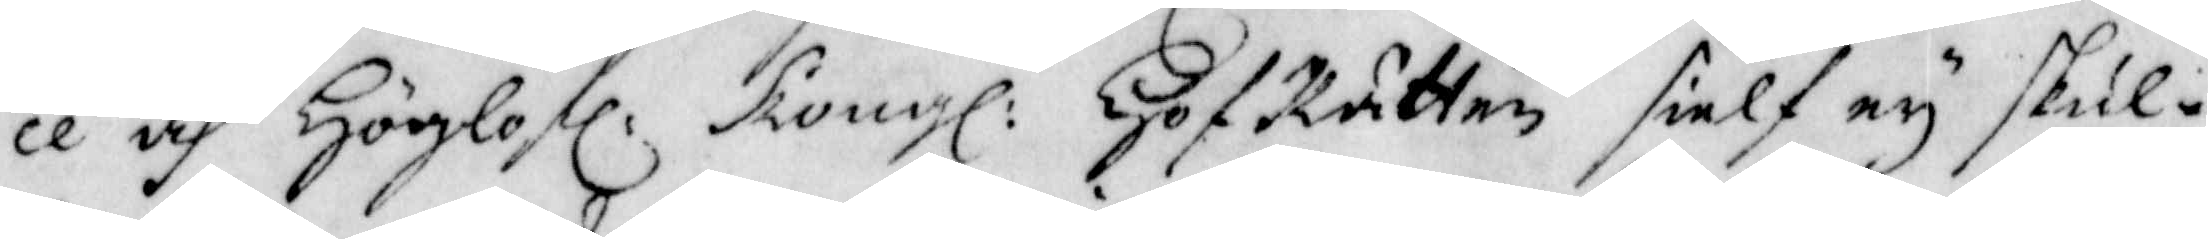ce och Höglofl: Kongl: HofRätten sielf ey skul¬
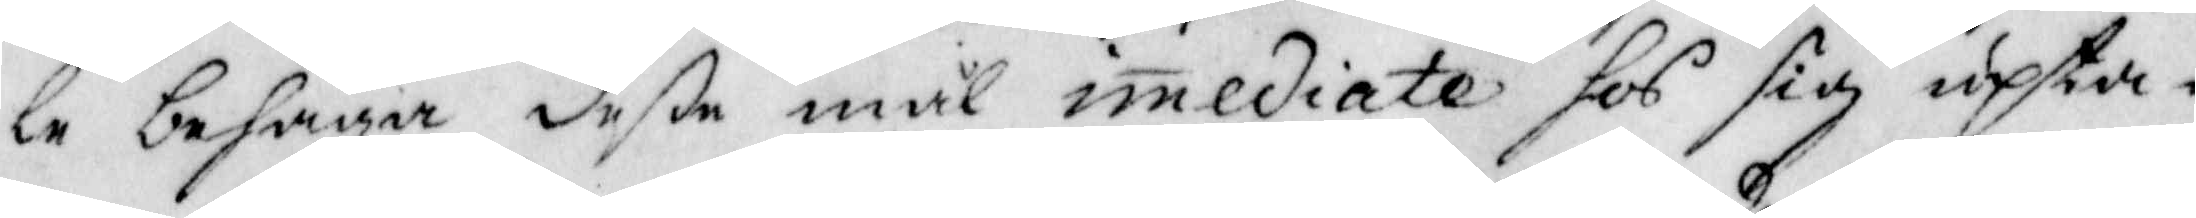le behaga deße mål imediate hos sig upta¬
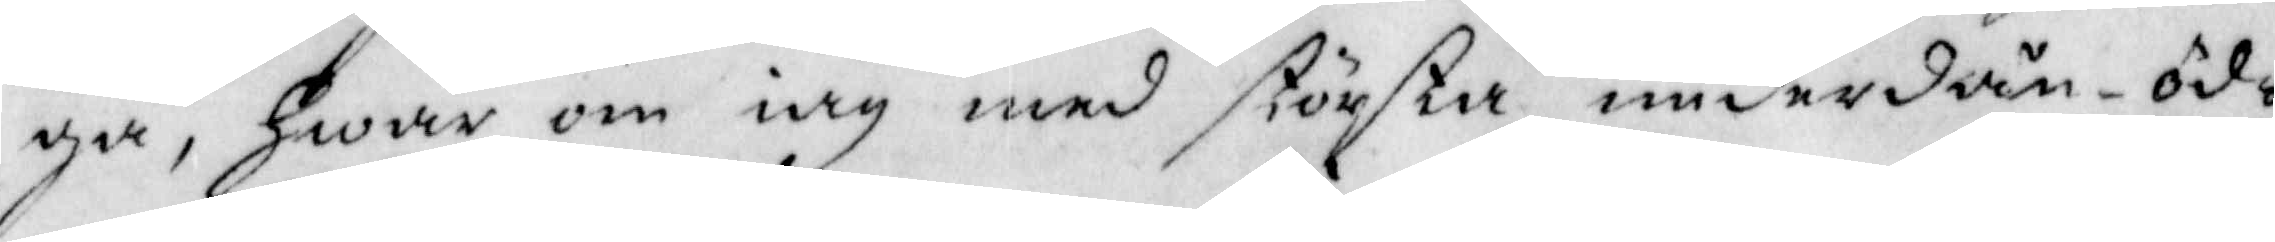ga, Hwar om iag med största underdån-öd¬
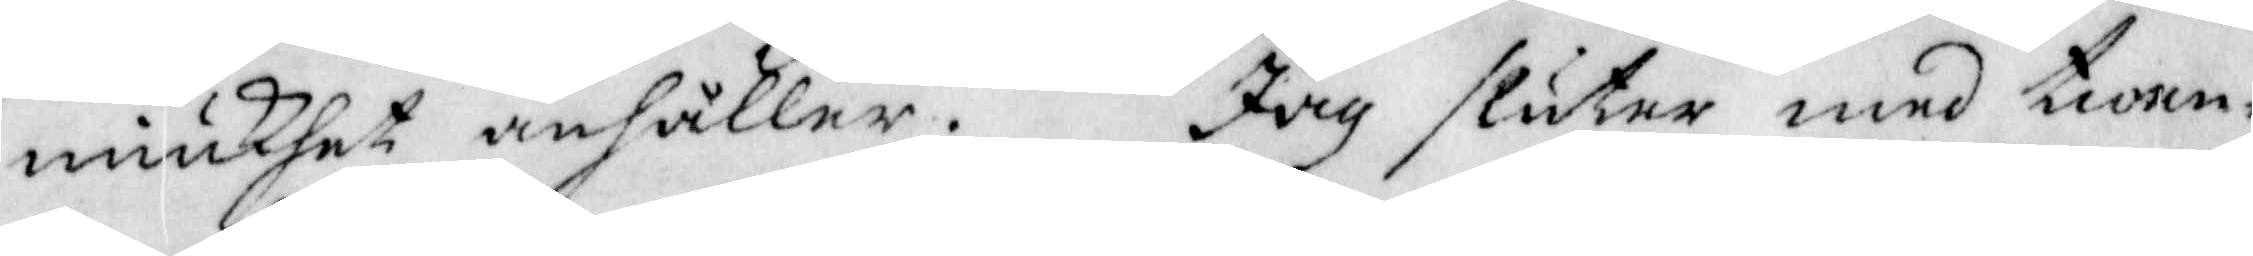miukhet anhåller. Jag slutar med twen¬
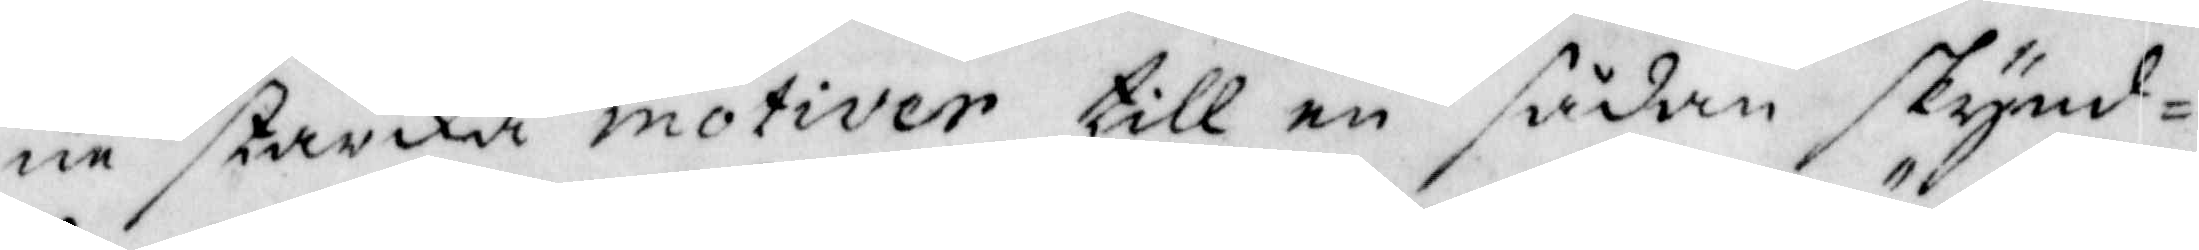ne starka motiver till en sådan skynd¬
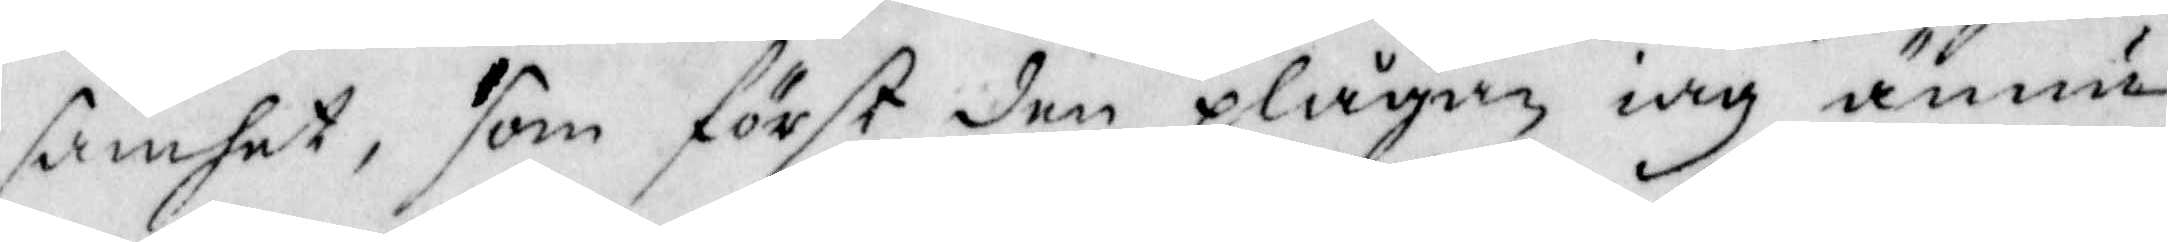samhet, som först den plågan iag ännu
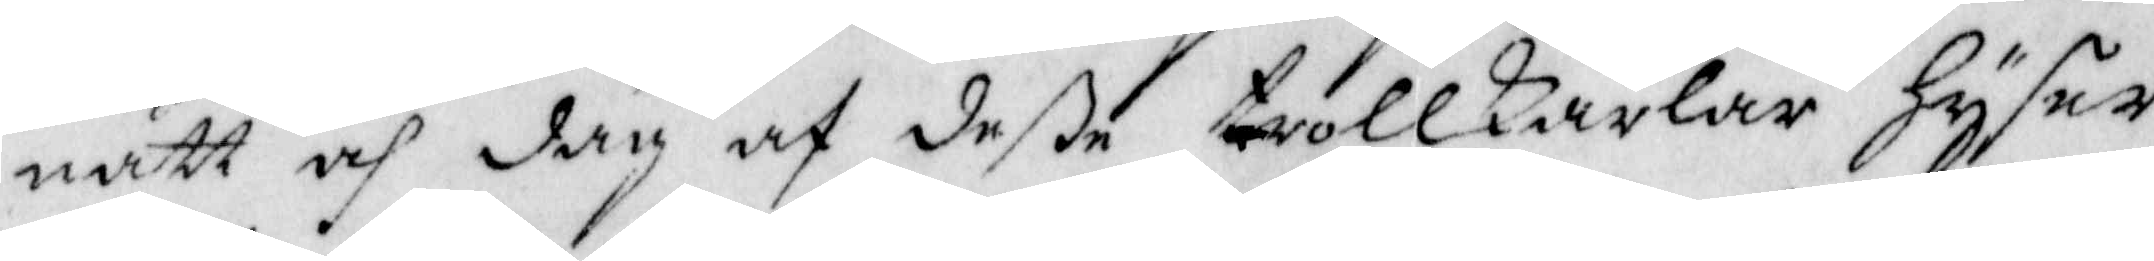natt och dag af deße trollkarlar Hyser,
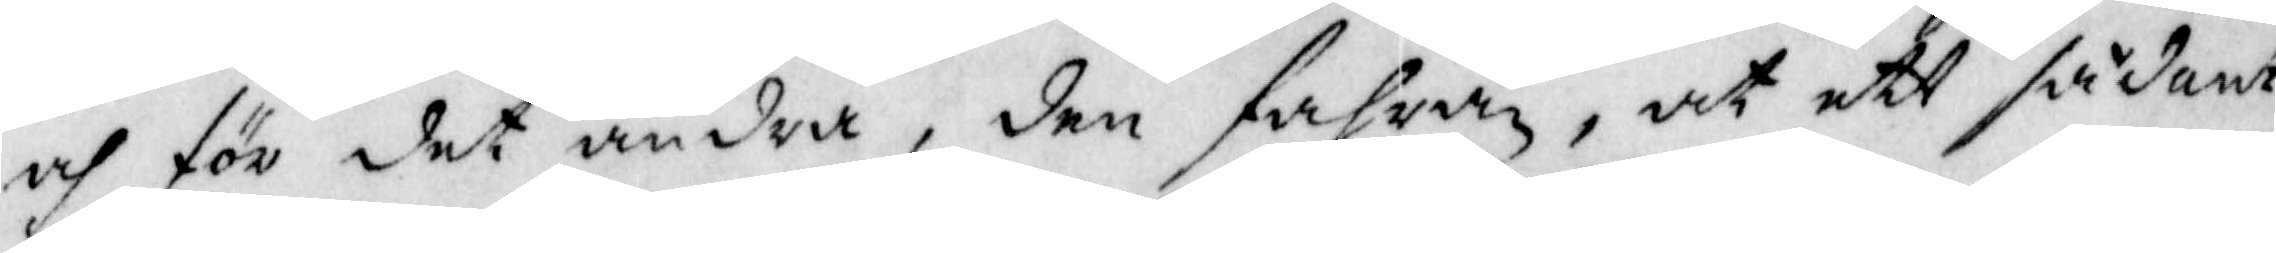och för det andra, den fahra, at ett sådant
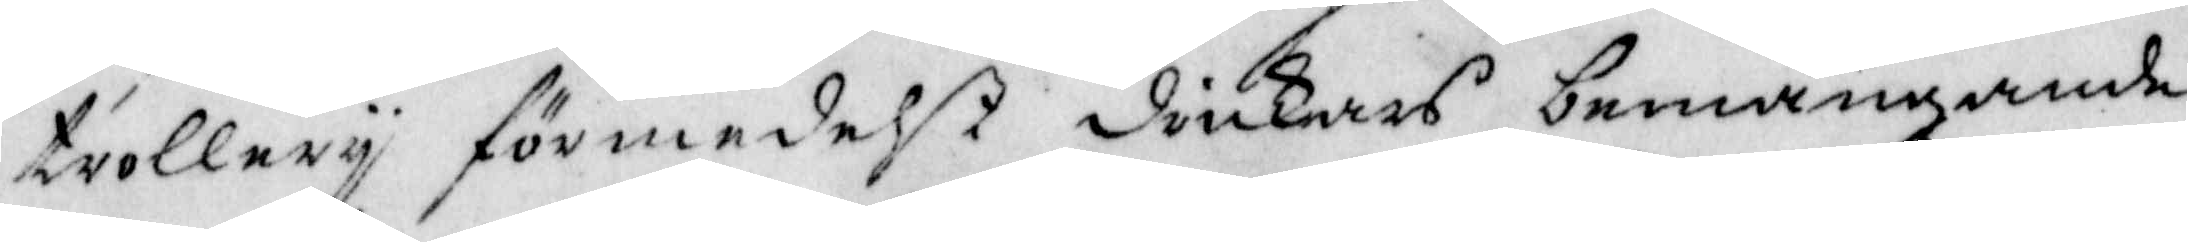trollery förmedelst dåkars bemängande
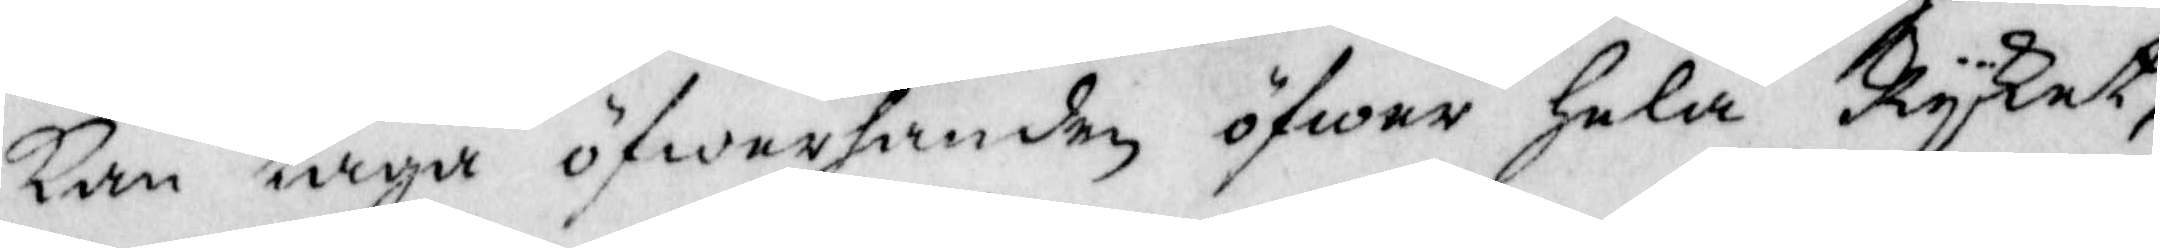Kan taga öfwerhanden öfwer Hela Ryket,
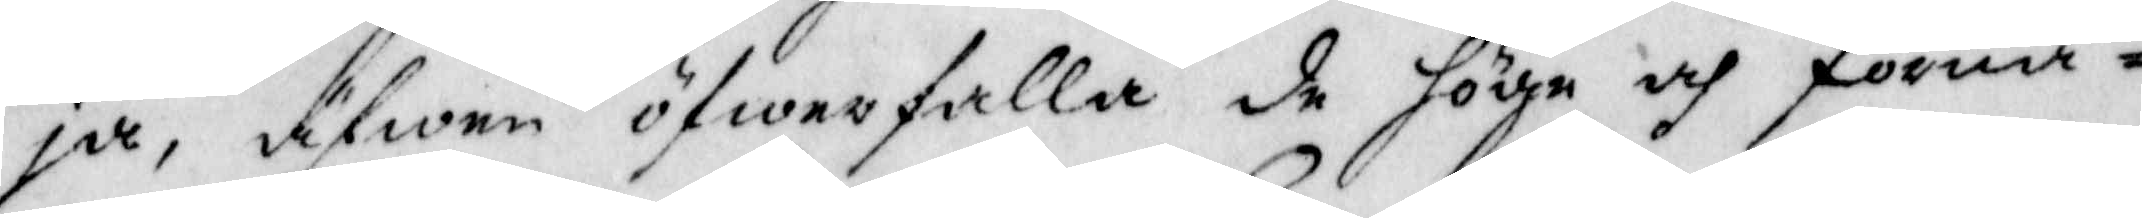ja, äfwen öfwerfalla de höga och förnä¬
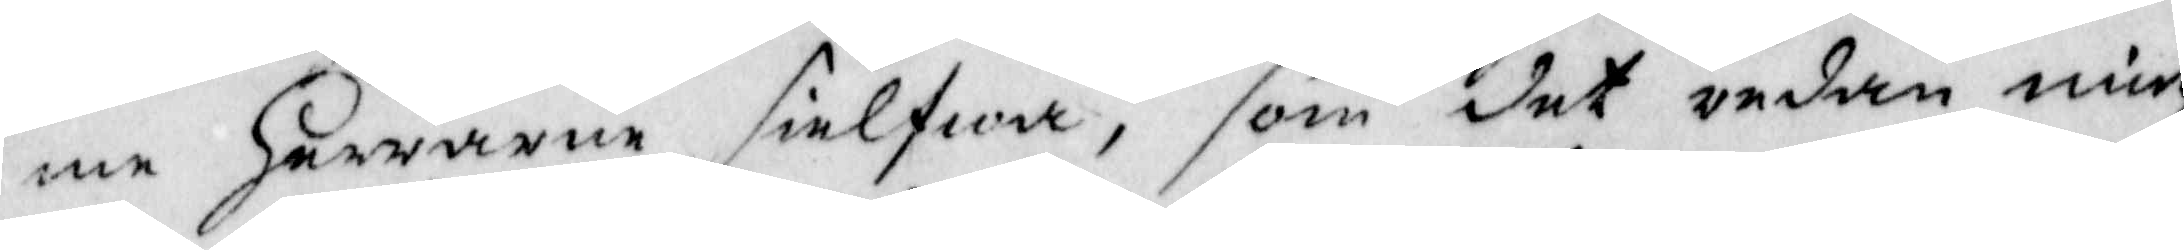me Herrarne sielfwa, som det redan mig
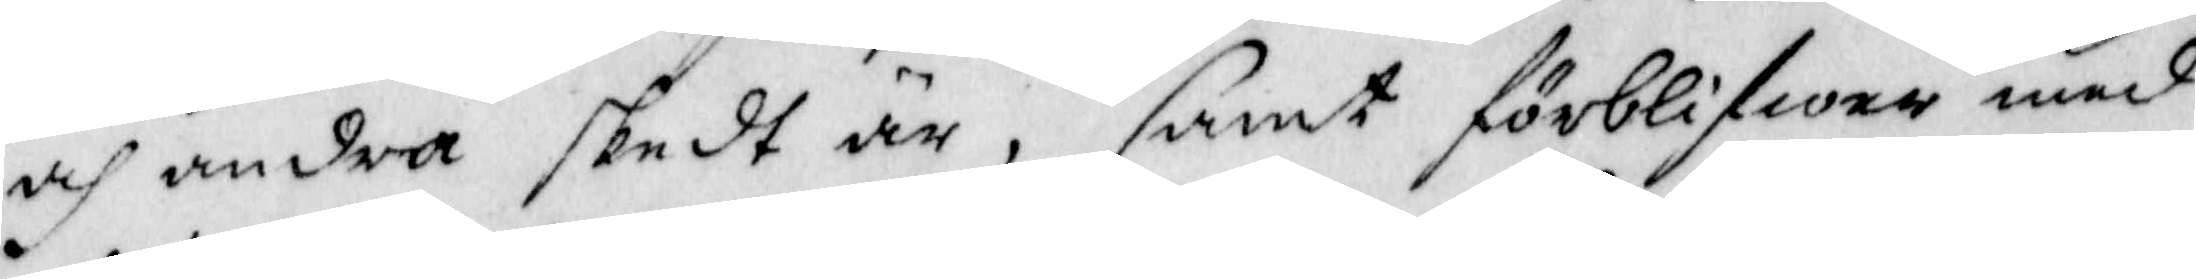och andra skedt är, samt förblifwer med
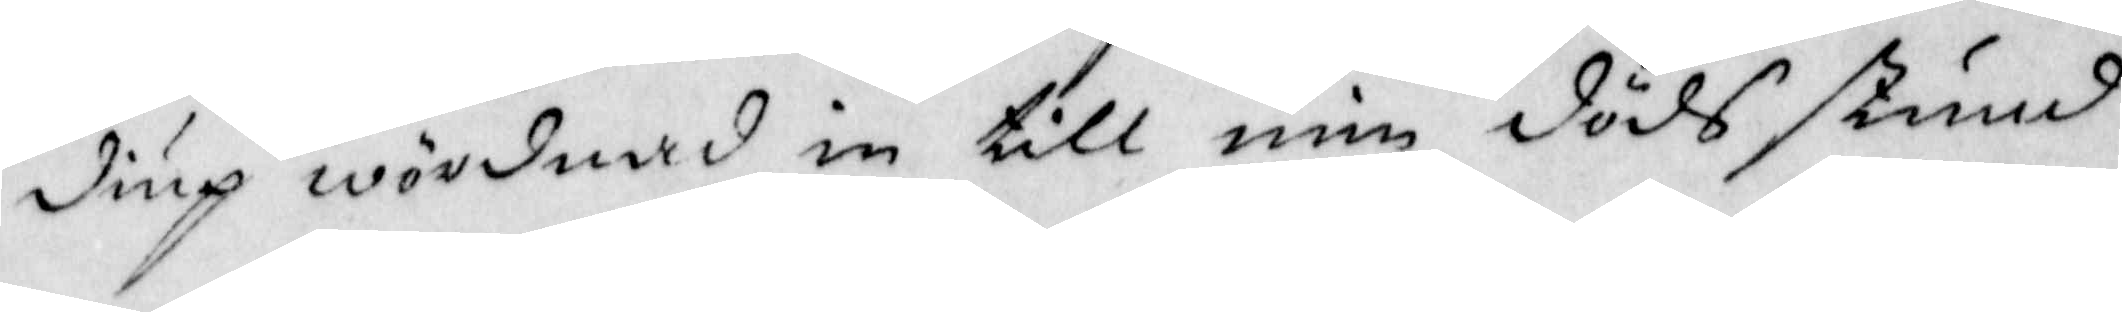diup wördnad in till min döds stund
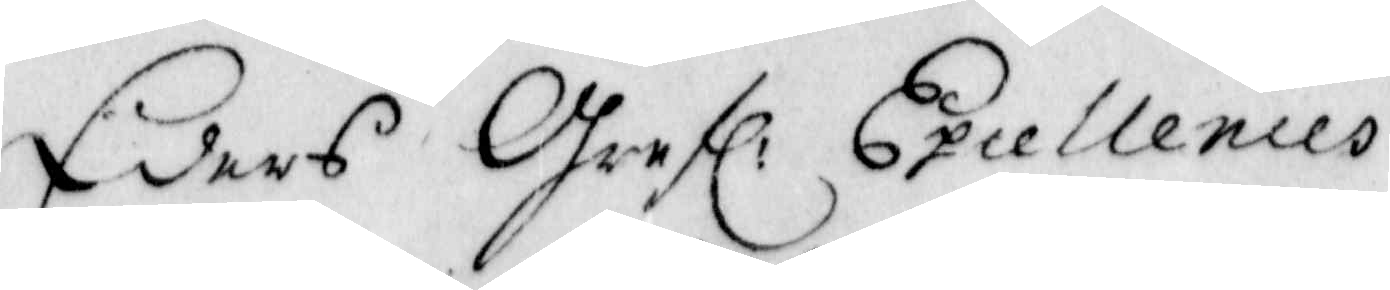Eders Grefl: Excellendes
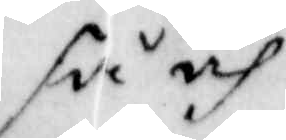så och
